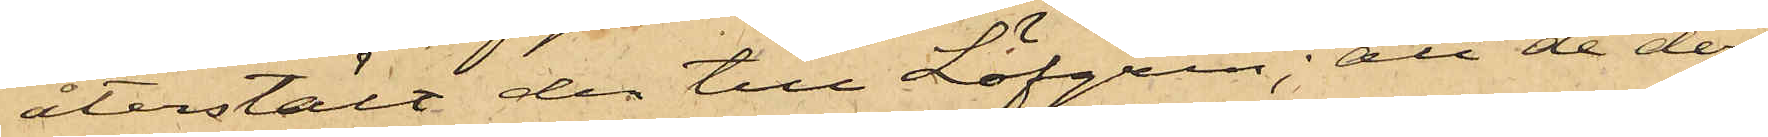återstält den till Löfgren; att de deref¬
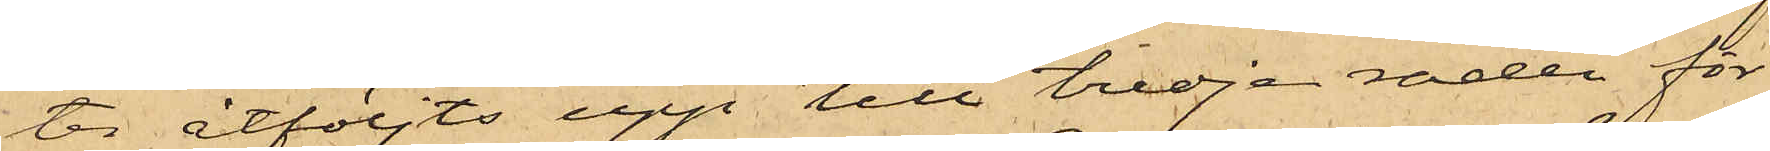ter åtföljts upp till tredje raden för
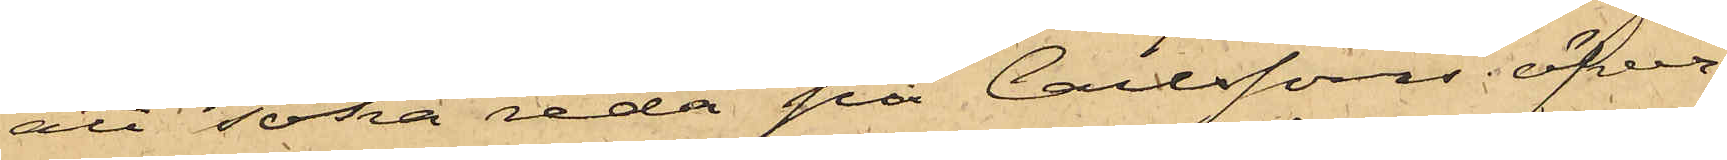att söka reda på Carlssons öfver¬
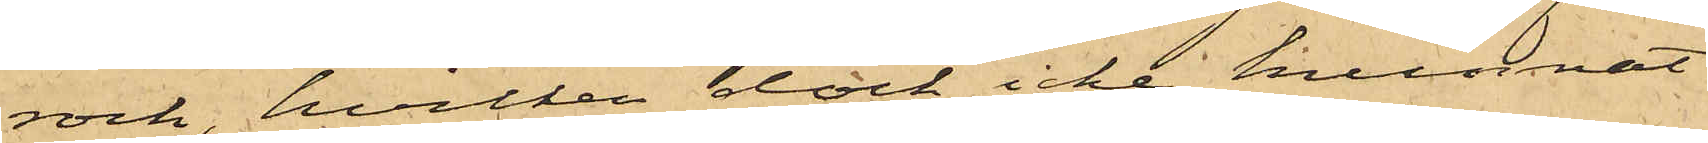rock, hvilken dock icke kunnat
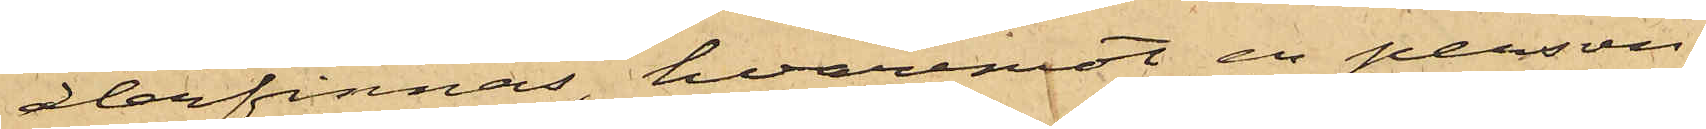återfinnas, hvaremot en person
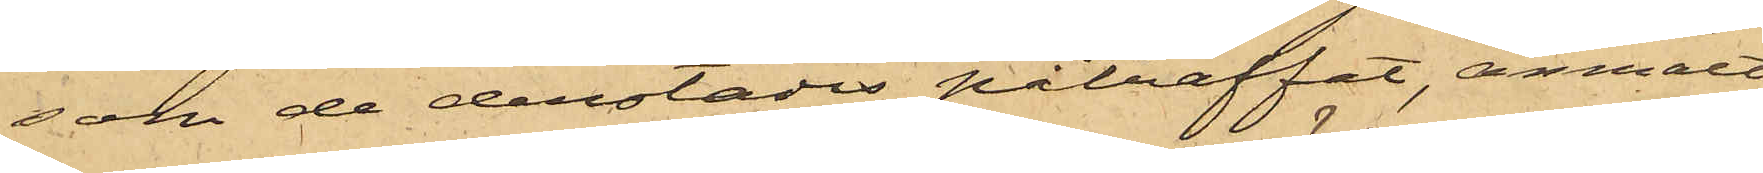som de derstädes påträffat, anmält
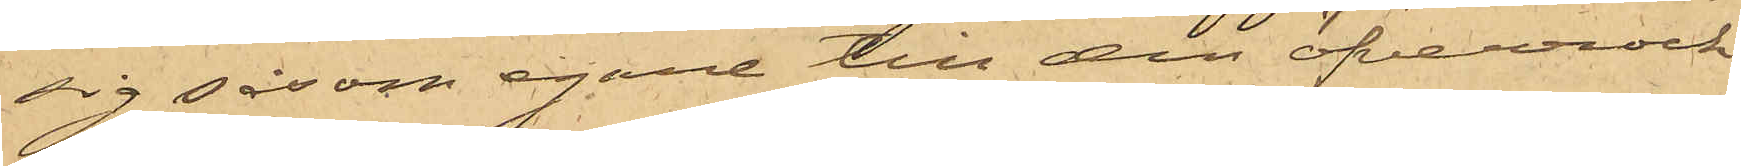sig såsom egare till den öfverrock
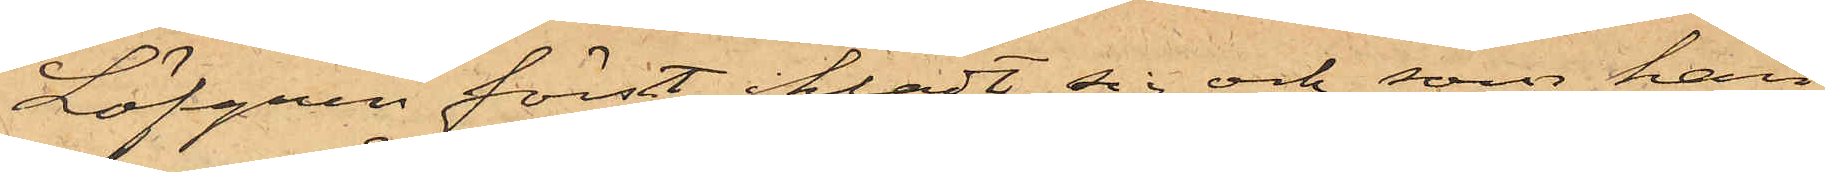Löfgren först iklädt sig och som han
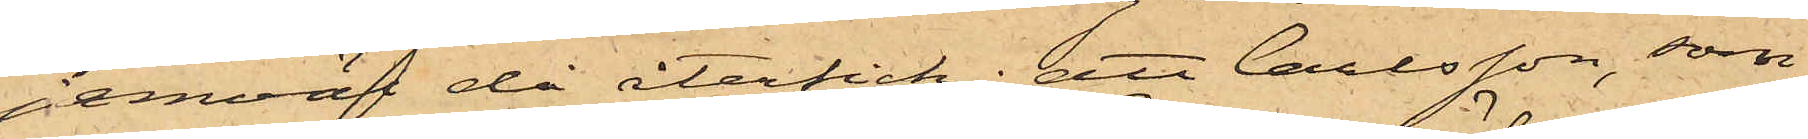jemväl då återfick; att Carlsson, som
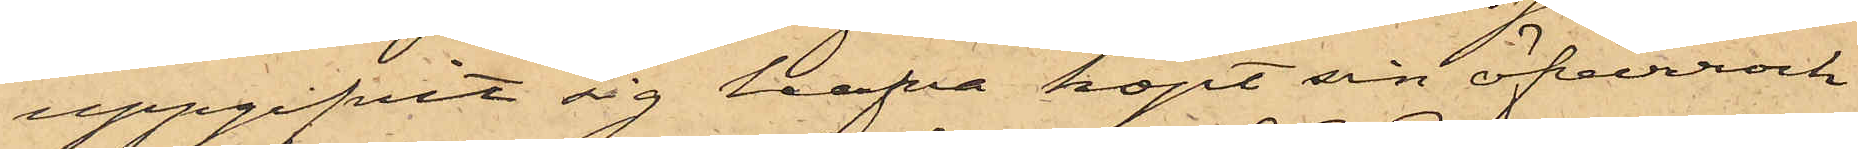uppgifvit sig hafva köpt sin öfverrock
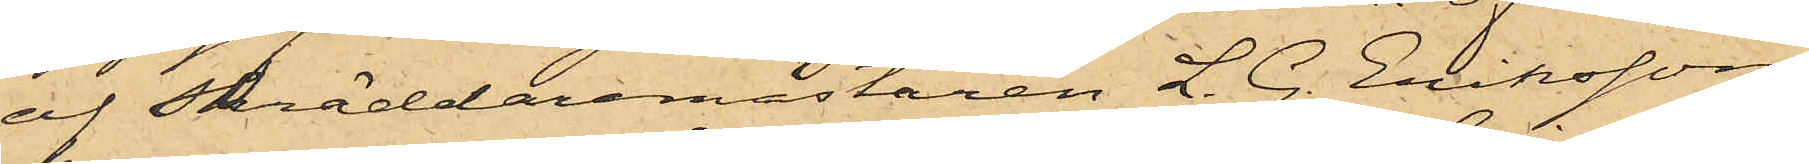af Skräddaremästaren L. G. Eriksson,
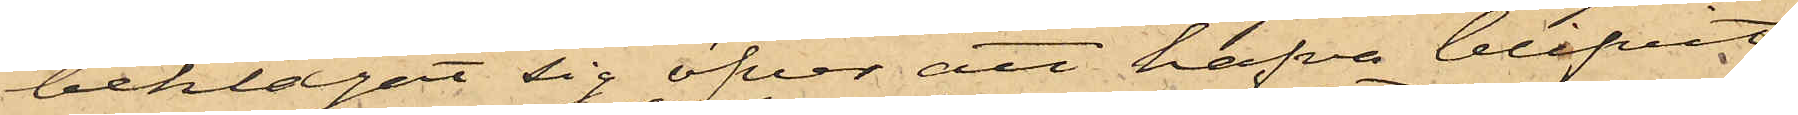beklagat sig öfver att hafva blifvit
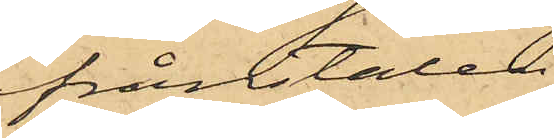frånstulen
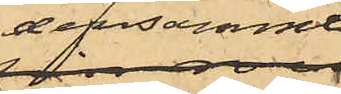densamme;
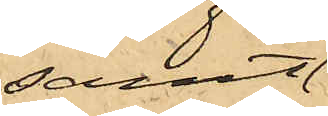samt
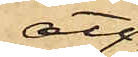att
